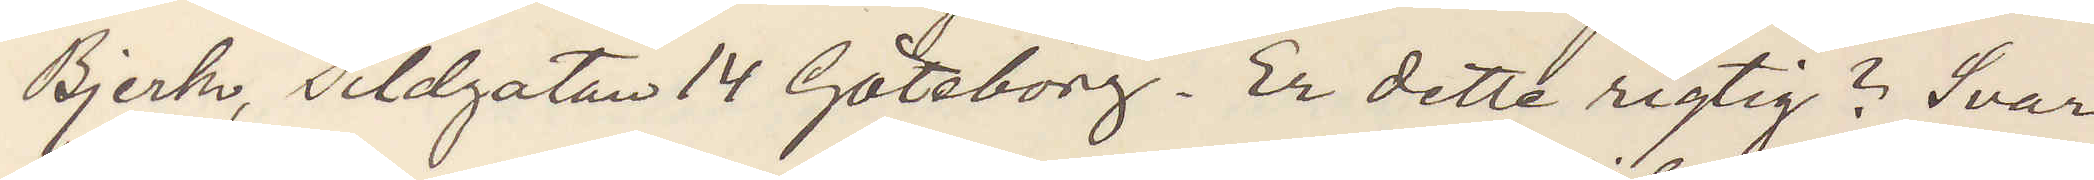Bjerk, Sildgatan 14 Göteborg. Er dette rigtig? Svar
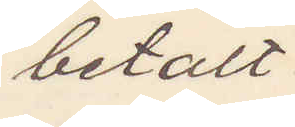betalt.
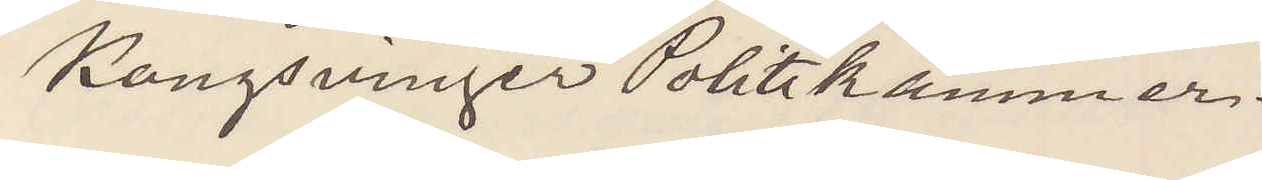Kongsvinger Politikammer.
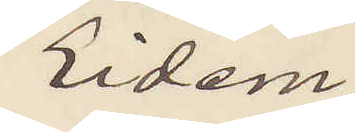Eidem.
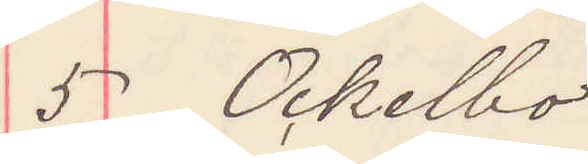5 Ockelbo
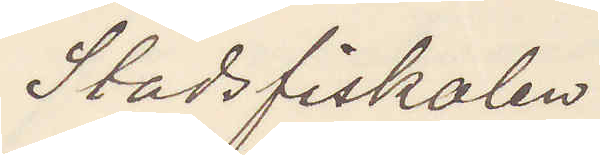Stadsfiskalen
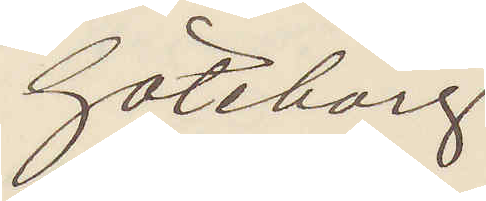Göteborg
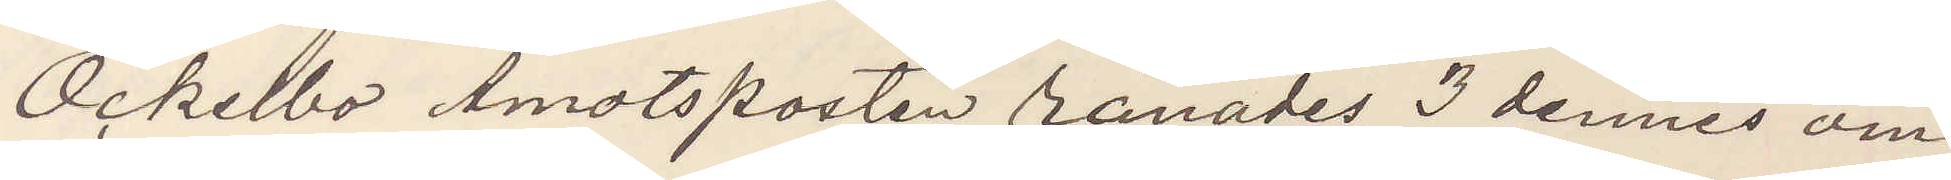Ockelbo Amotsposten rånades 3 dennes om¬
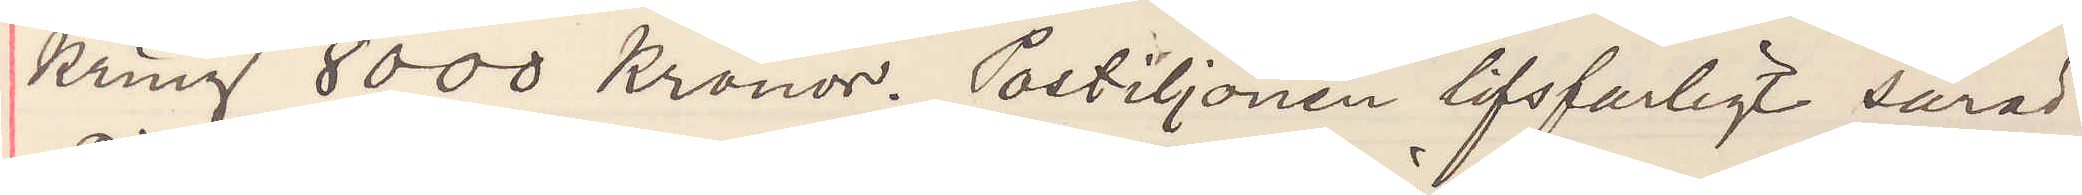kring 8000 kronor. Postiljonen lifsfarligt sårad.
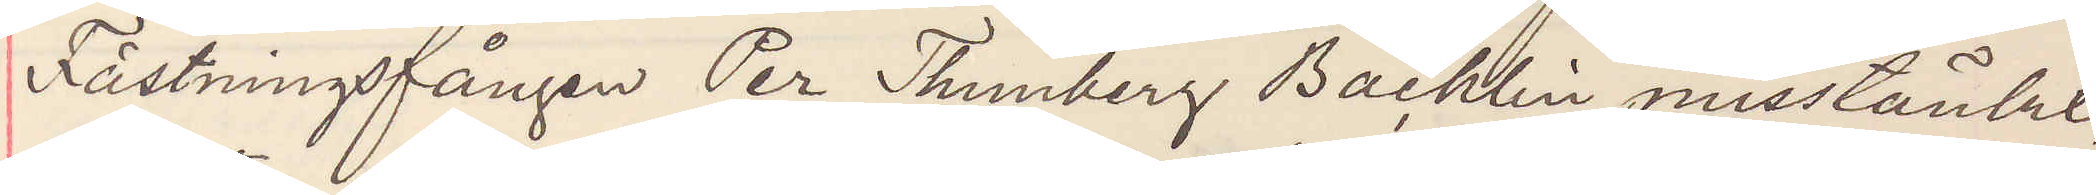Fästningsfången Per Thunberg Bäcklin mistänkt,
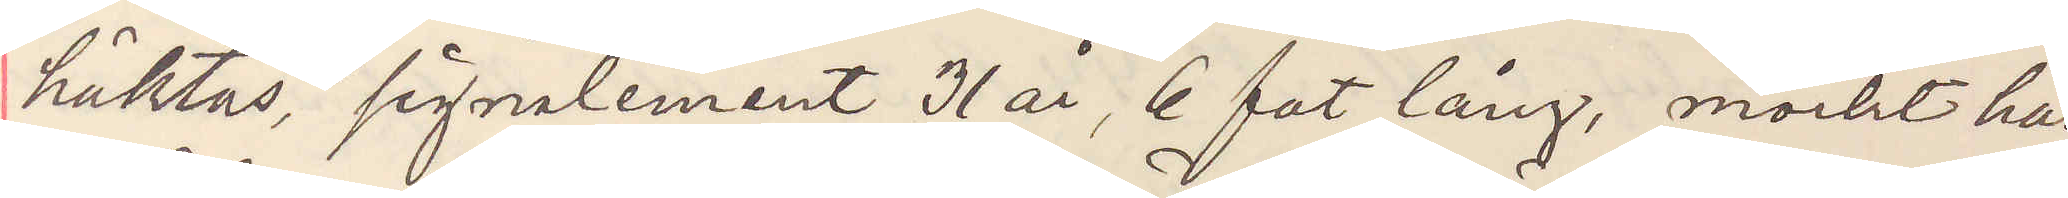häktas, signalement 31 år, 6 fot lång, mörkt hår
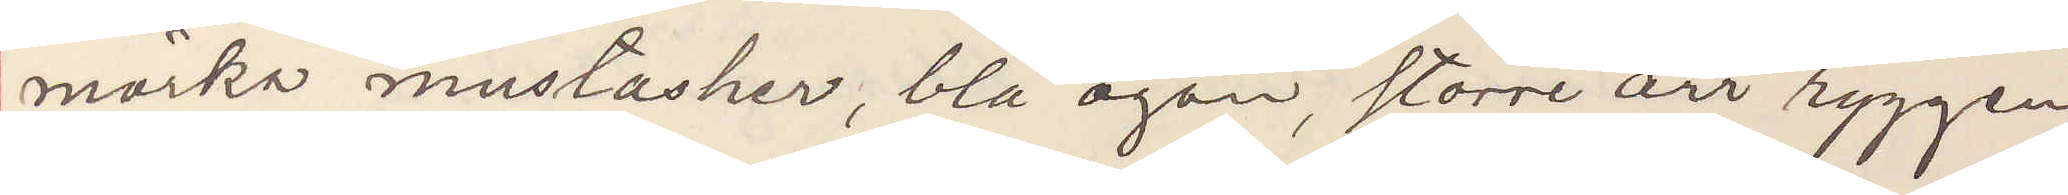mörka mustacher, blå ögon, större ärr ryggen.
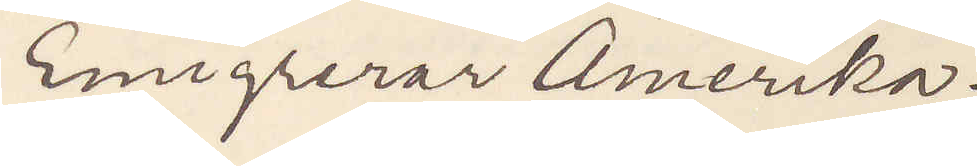Emigrerar Amerika.
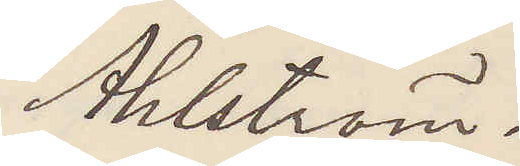Ahlström.
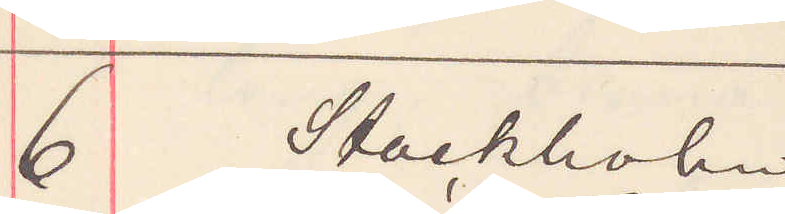6 Stockholm
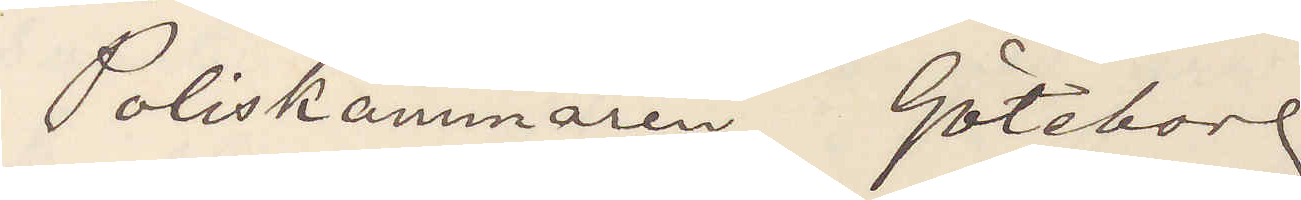Poliskammaren Göteborg
